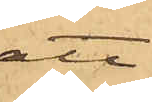att
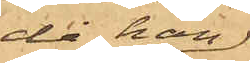då han
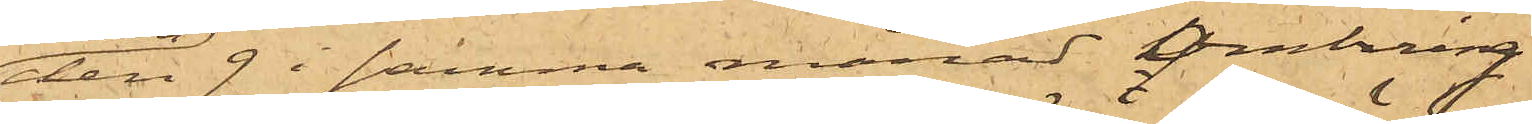den 9 i samma månad omkring
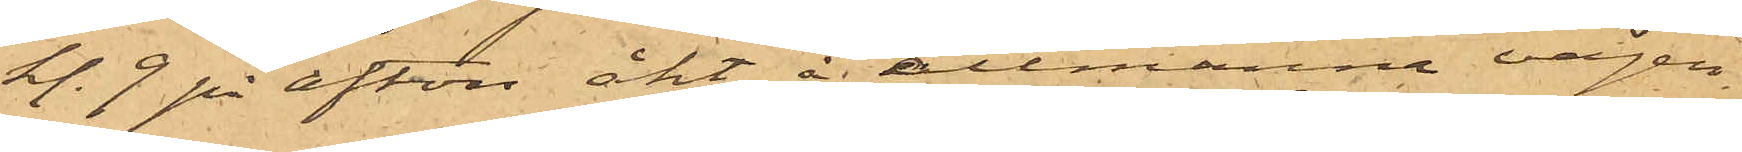kl. 9 på afton åkt å allmänna vägen
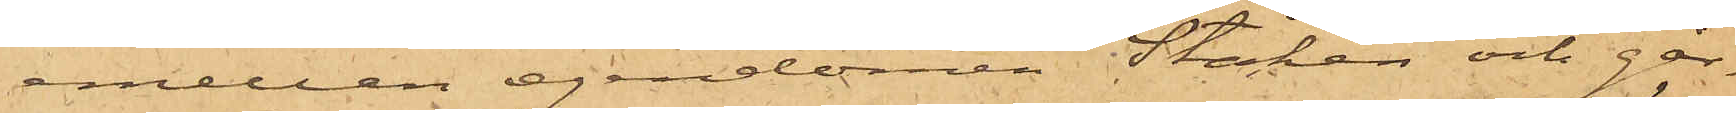emellan egendomen Stäken och går¬
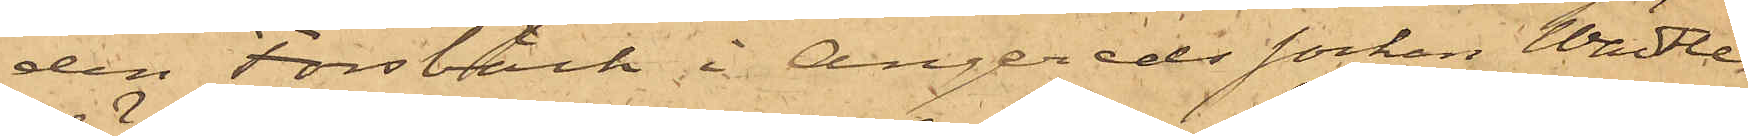den Forsbäck i Angereds socken Wättle
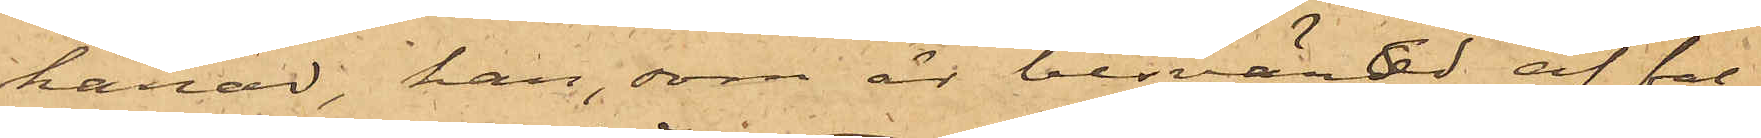härad, han, som är besvärad af fal¬
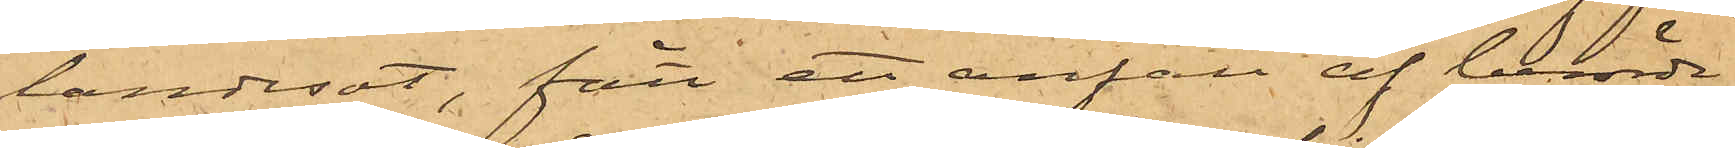landesot, fått ett anfall af berörde
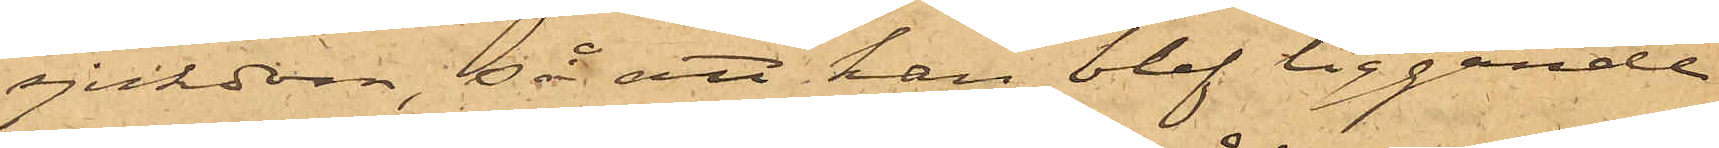sjukdom, så att han blef liggande
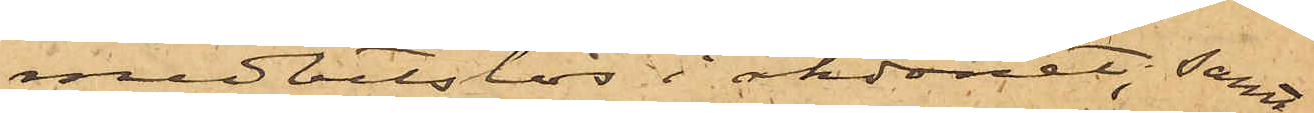medvetslös i åkdonet; samt
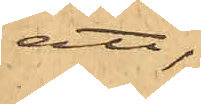att,
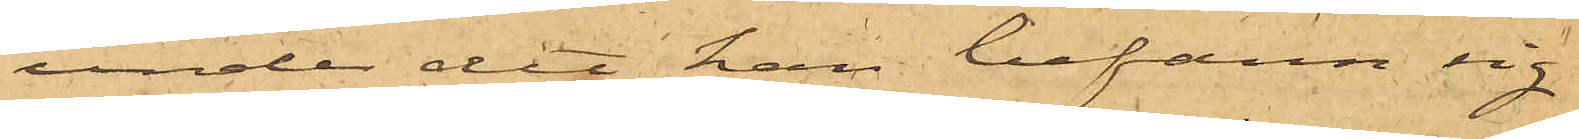under det han befann sig
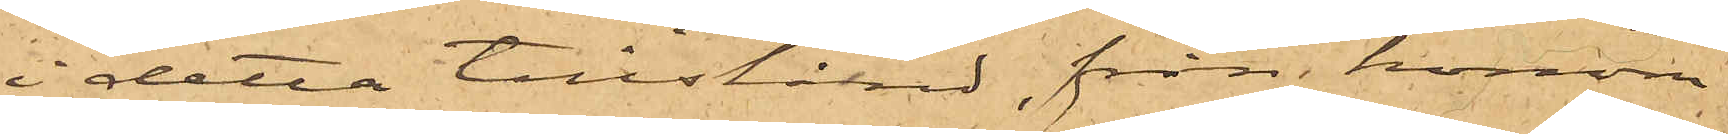i detta tillstånd, från honom
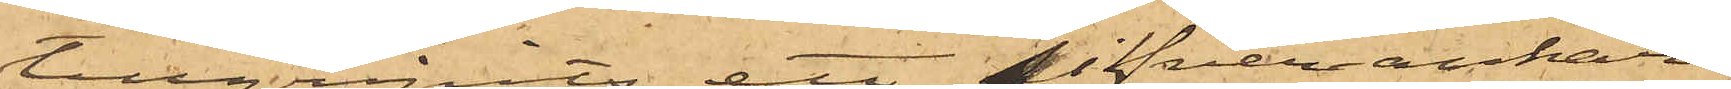tillgripits ett sifverankar¬
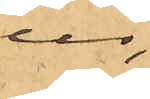ur
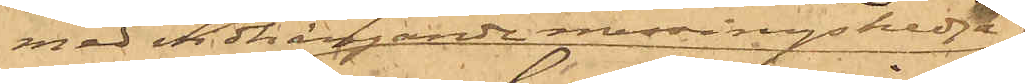med vidhängande messingskedja,
